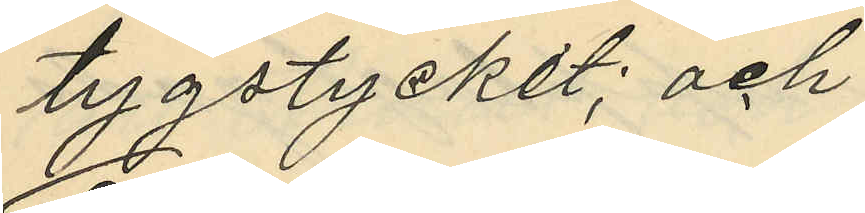tygstycket; och
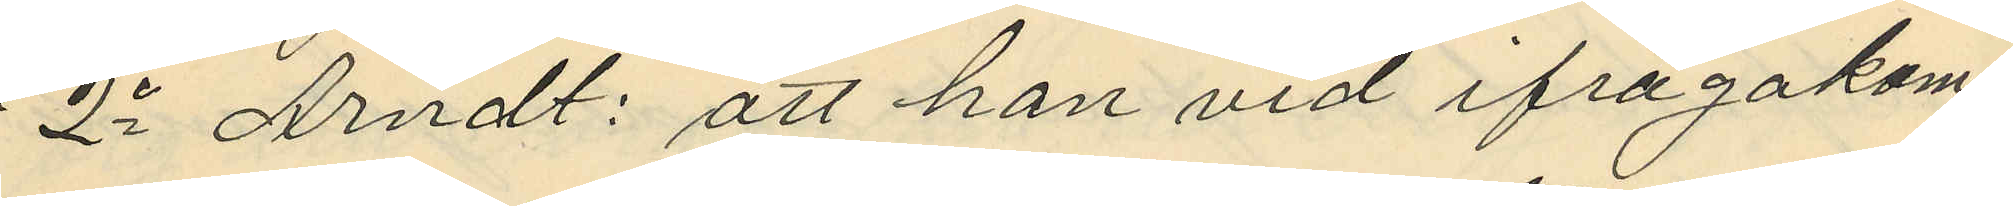2o Arndt: att han vid ifrågakom¬
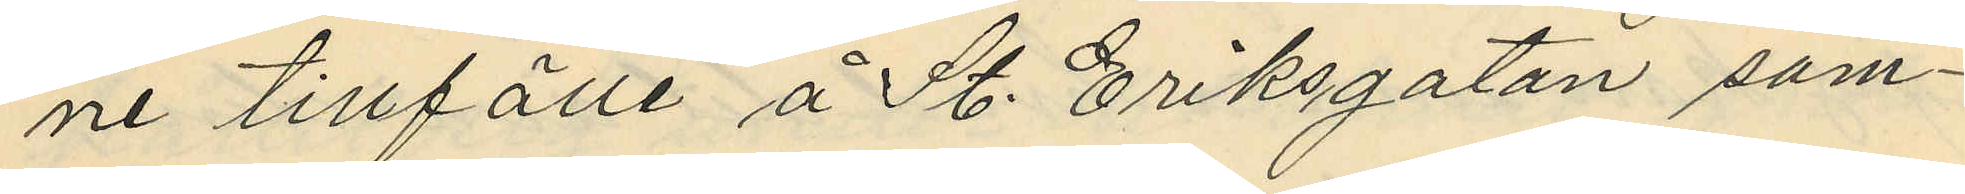ne tillfälle å St. Eriksgatan sam¬
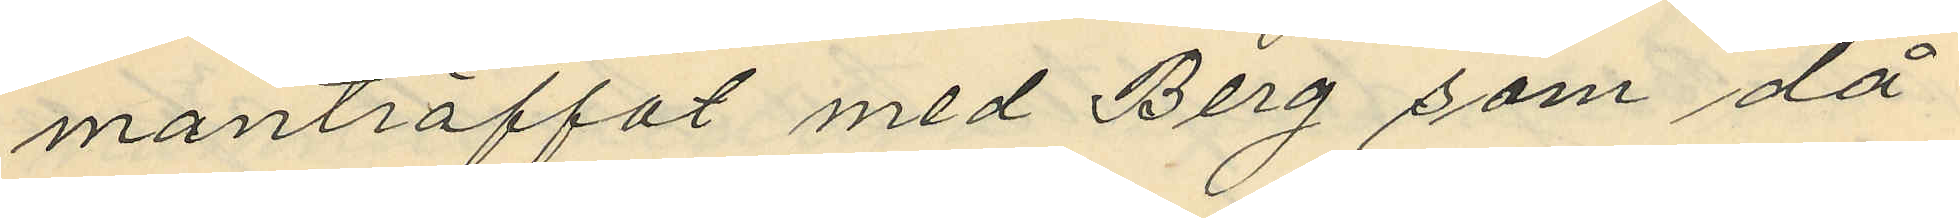manträffat med Berg som då
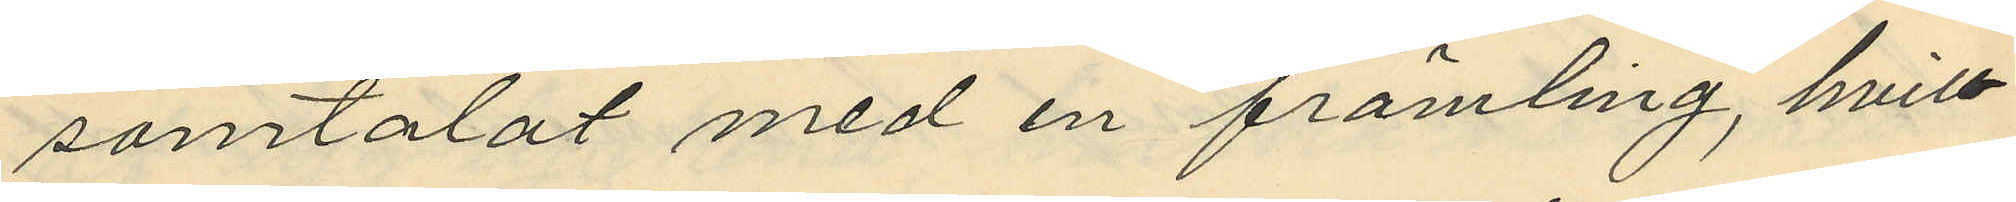samtalat med en främling, hvil¬
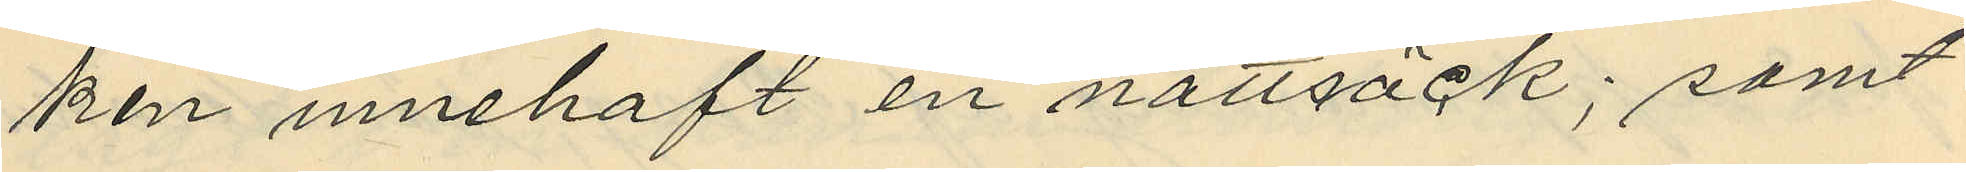ken innehaft en nattsäck; samt
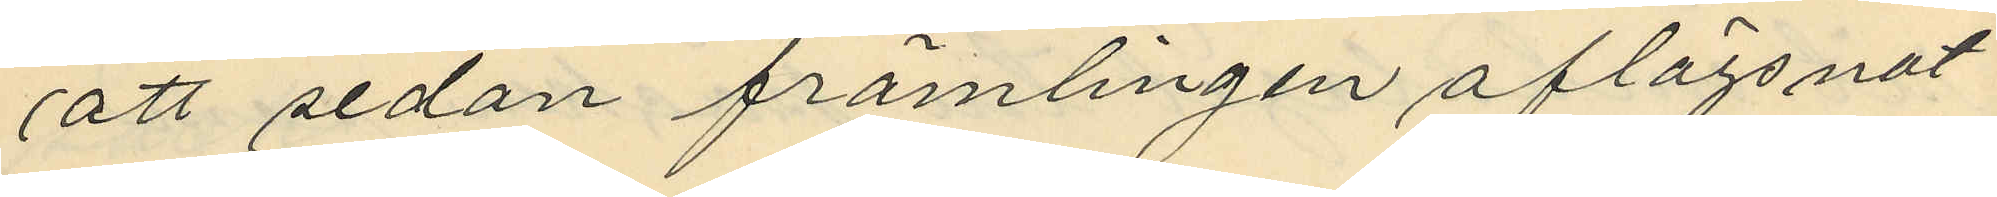att sedan främlingen aflägsnat
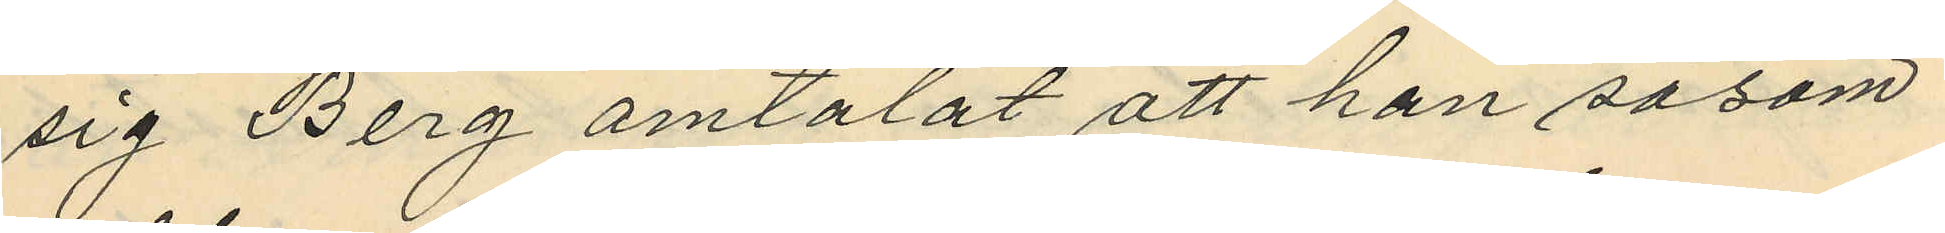sig Berg omtalat att han såsom
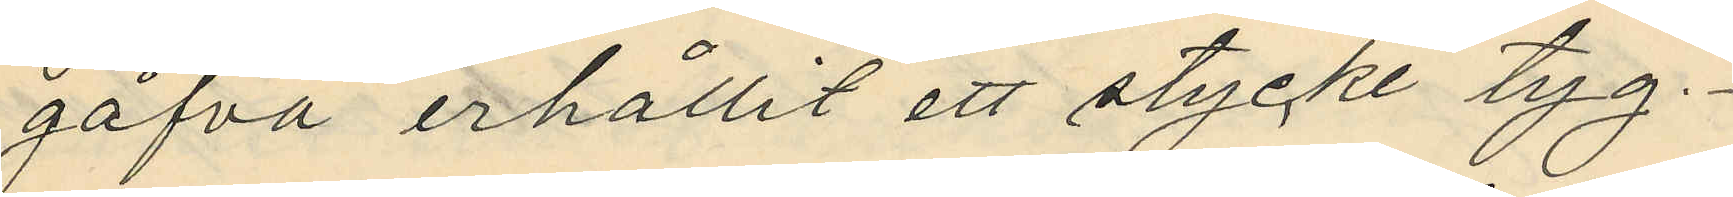gåfva erhållit ett stycke tyg.
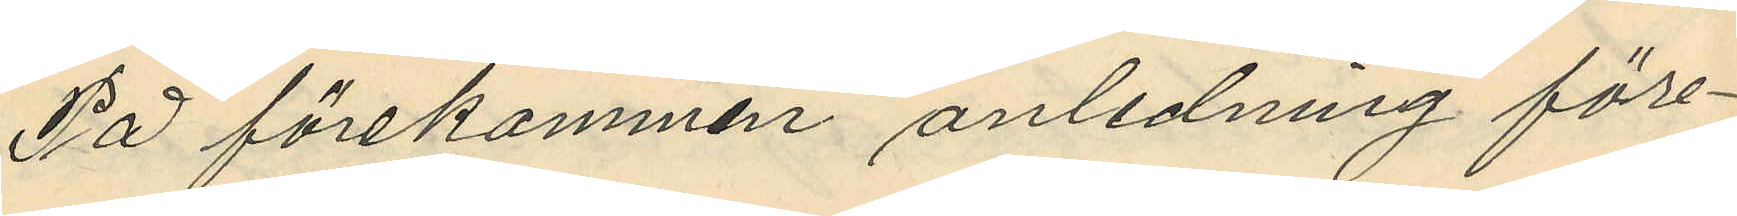På förekommen anledning före¬
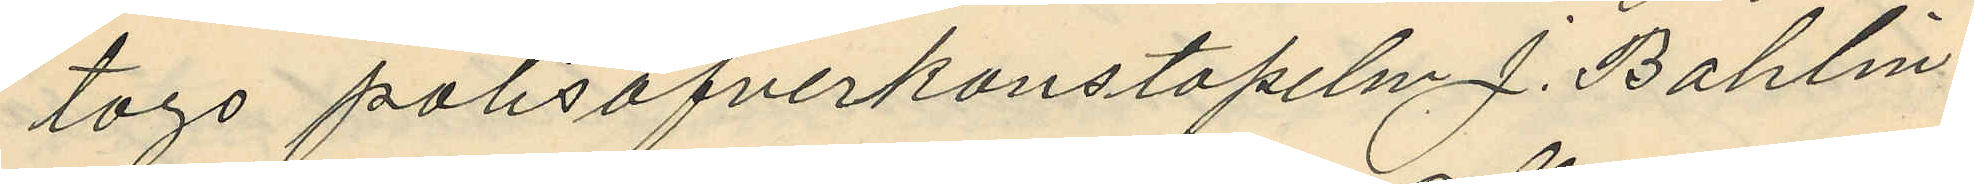togo polisöfverkonstapeln J. Bohlin
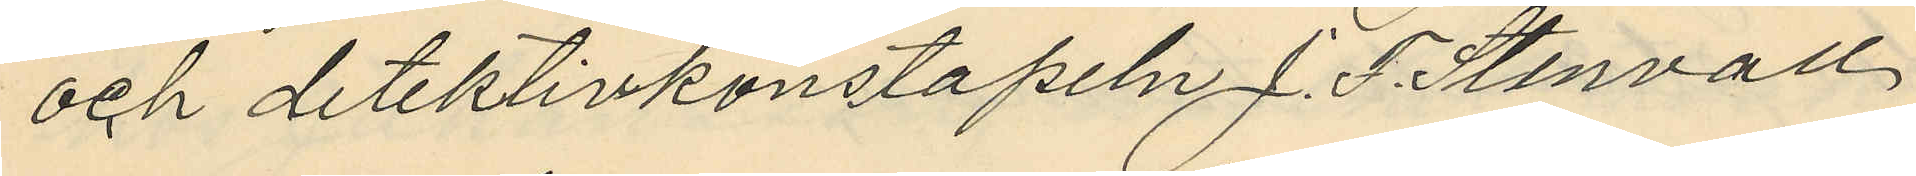och detektivkonstapeln J. F. Stenvall
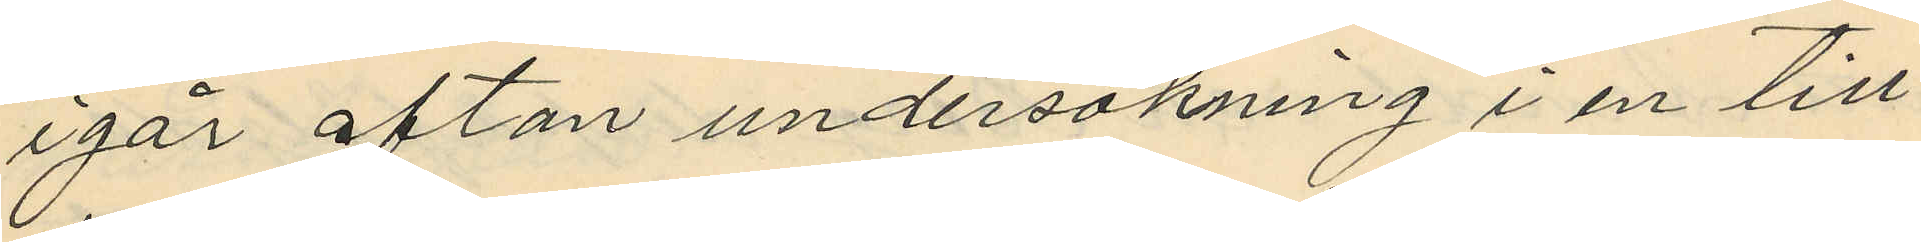i går afton undersökning i en till
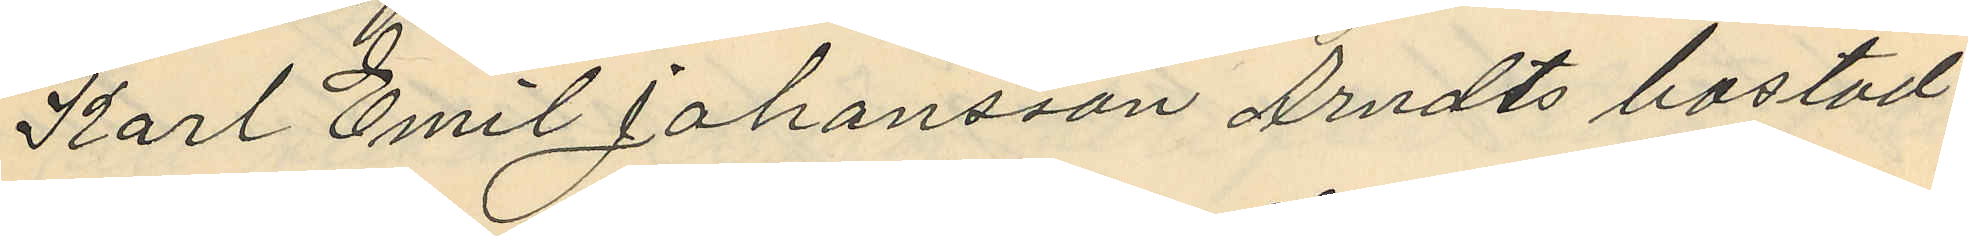Karl Emil Johansson Arndts bostad
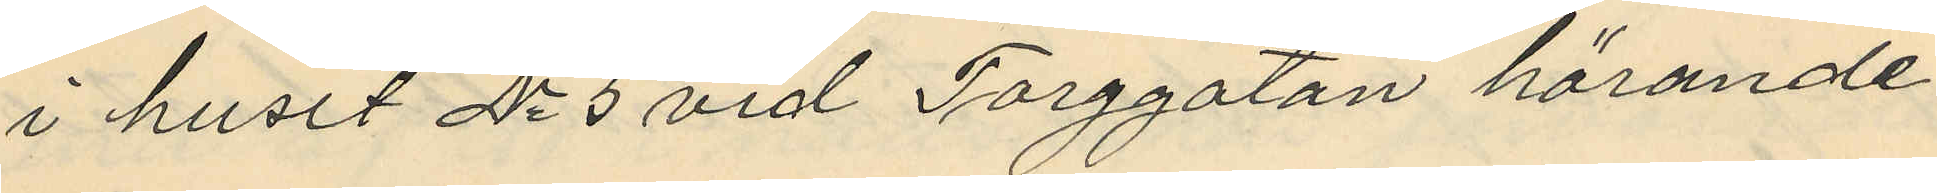i huset No 5 vid Torggatan hörande
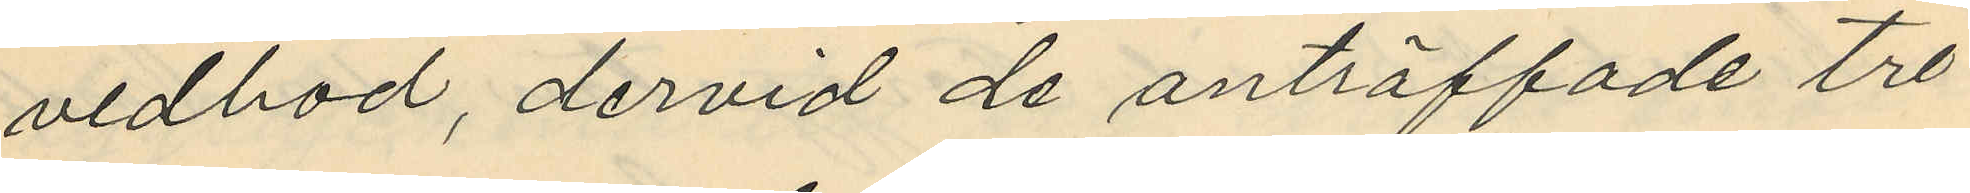vedbod, dervid de anträffade tre
